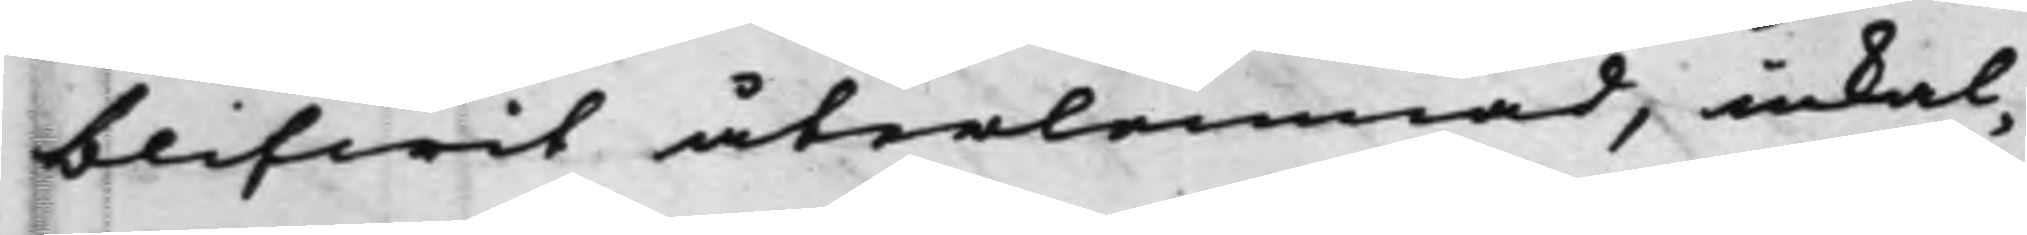blifwit återlemnad, inkal¬
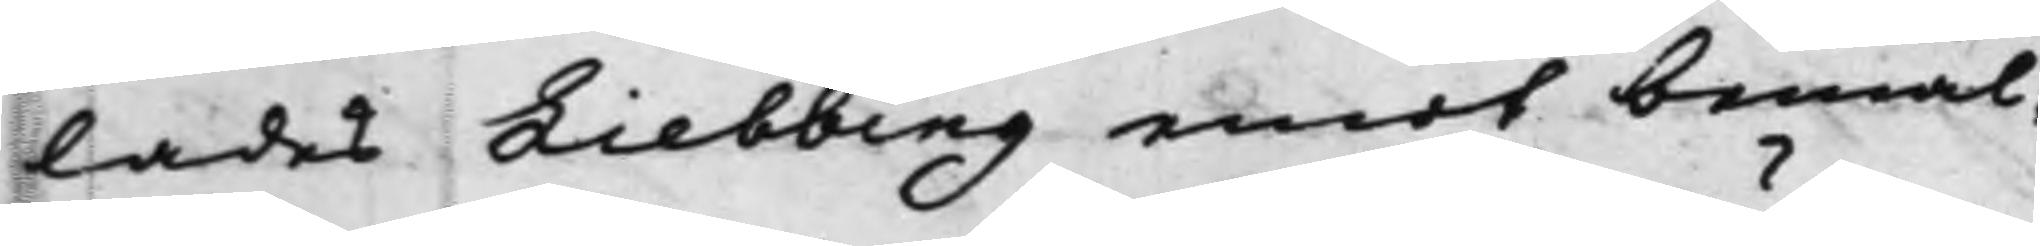lades Liebbing emot bemäl¬
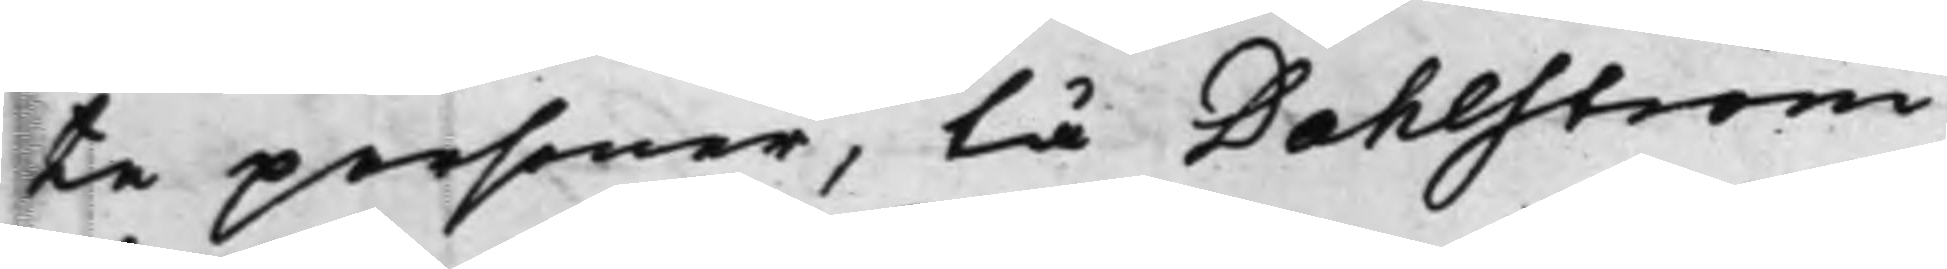te personer, tå Dahlström
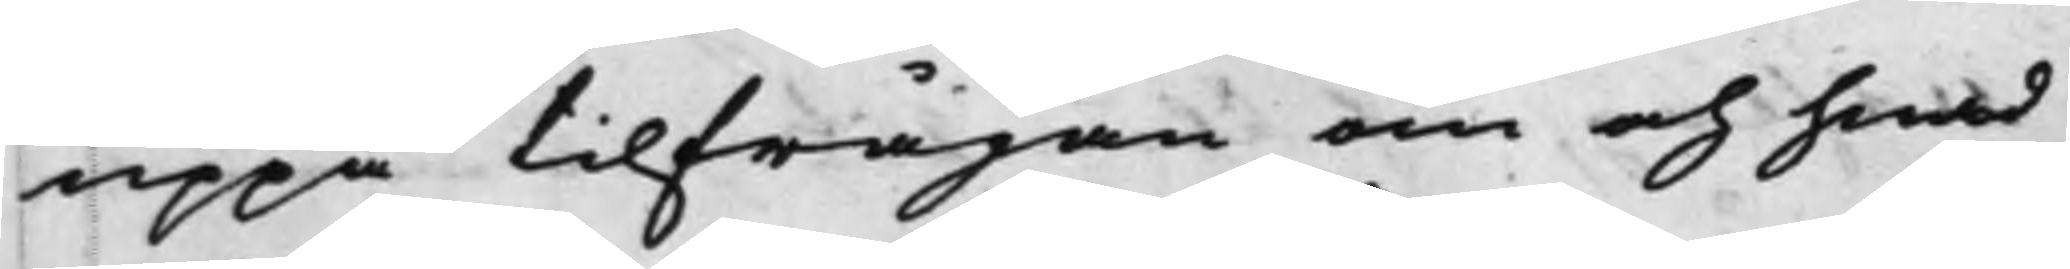uppå tilfrågan om och hwad
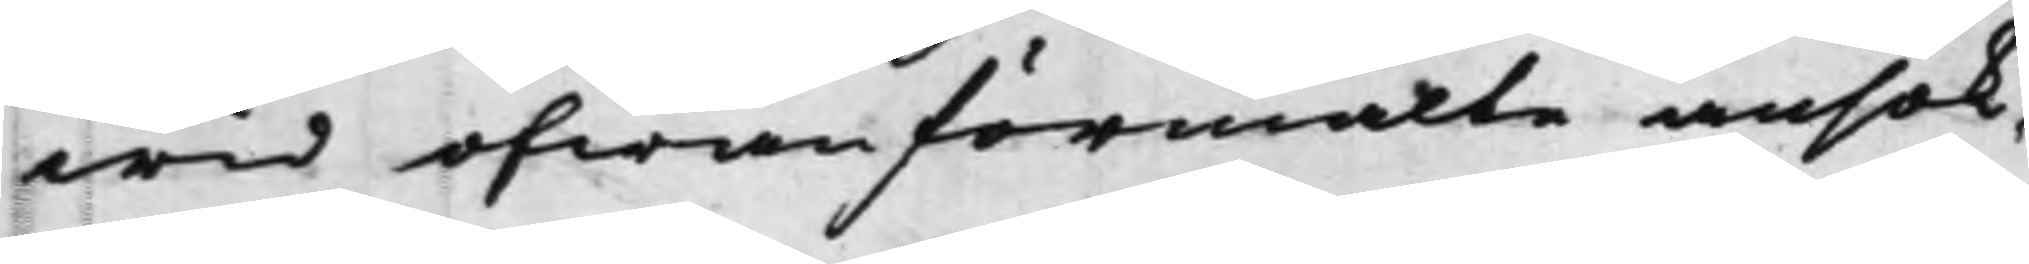wid ofwanförmälte ansök¬
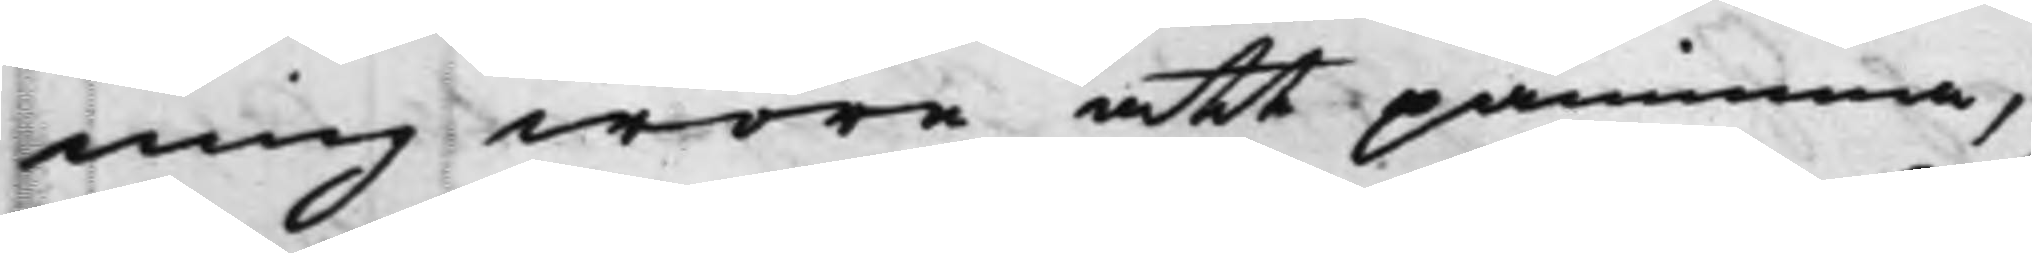ning wore att påminna,
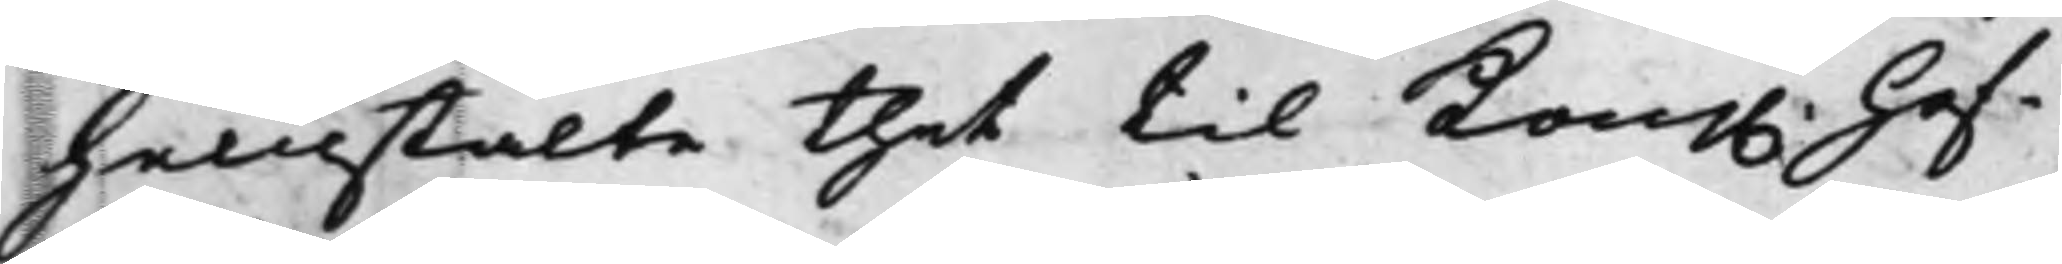hemstälte thet til Kong. Hof¬ 
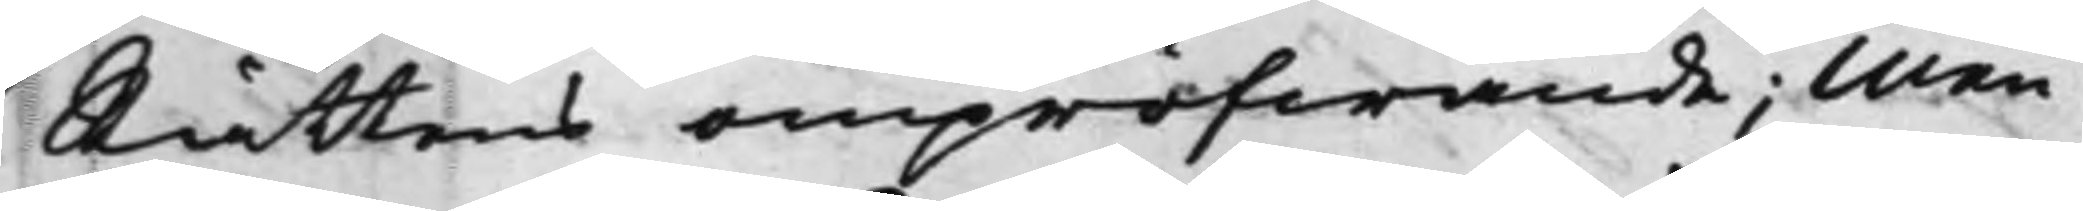Rättens ompröfwande; Men
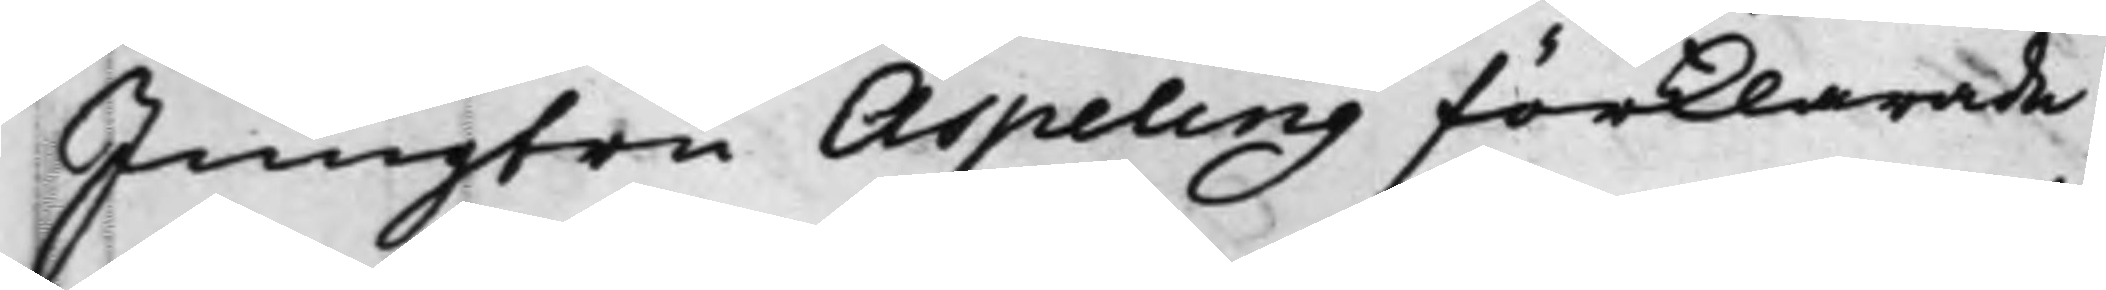Jungfru Aspeling förklarade
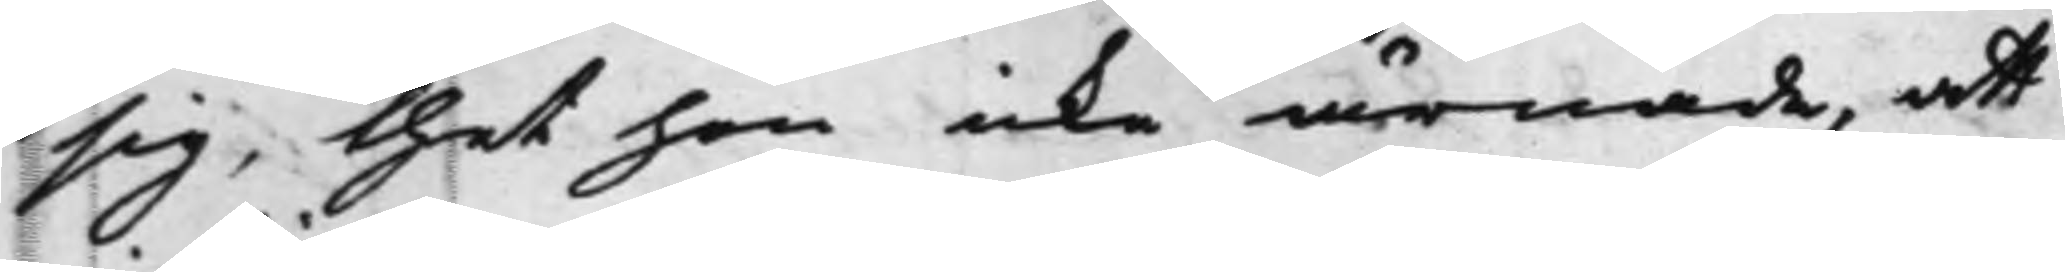sig, thet hon icke ärnade, att
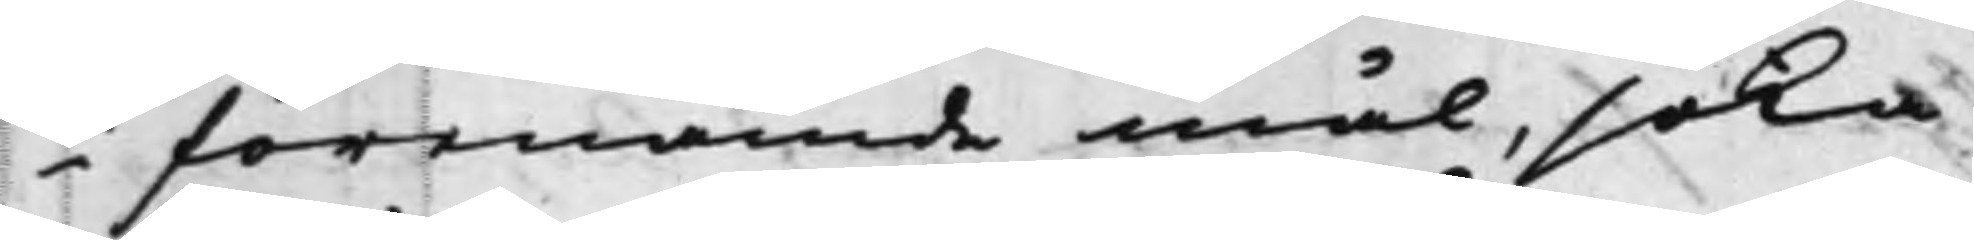i förenämde mål, söka
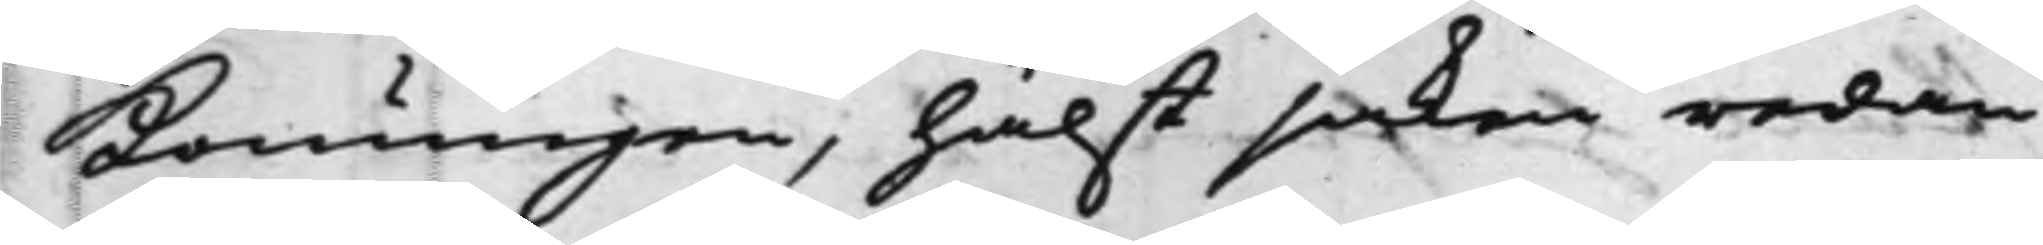Konungen, hälst saken redan
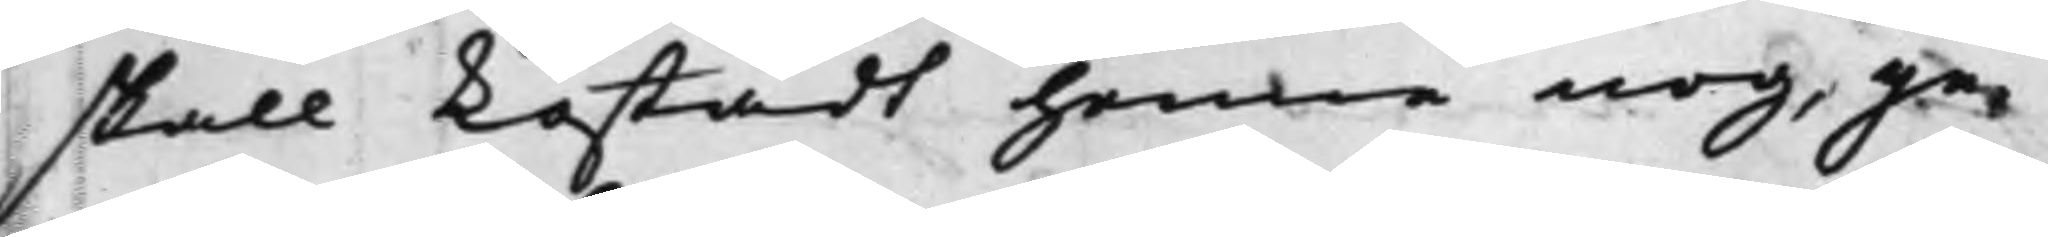skall kostadt henne nog, ge¬
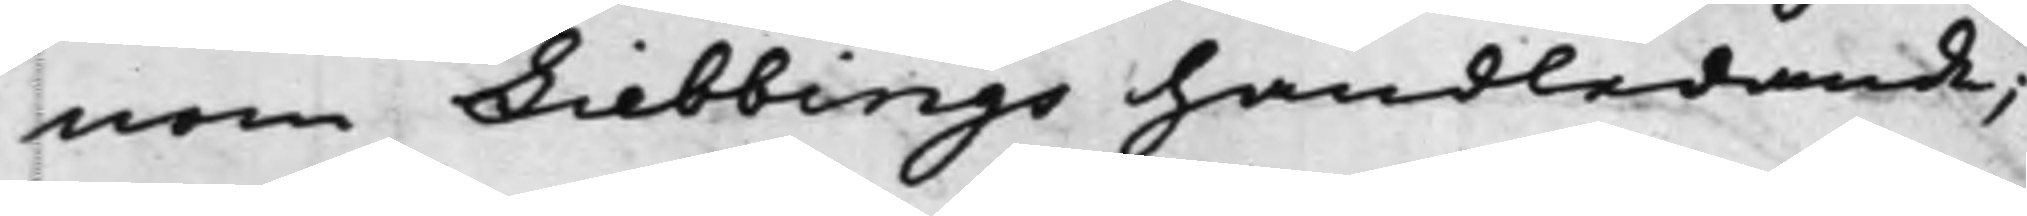nom Liebbings handledande;
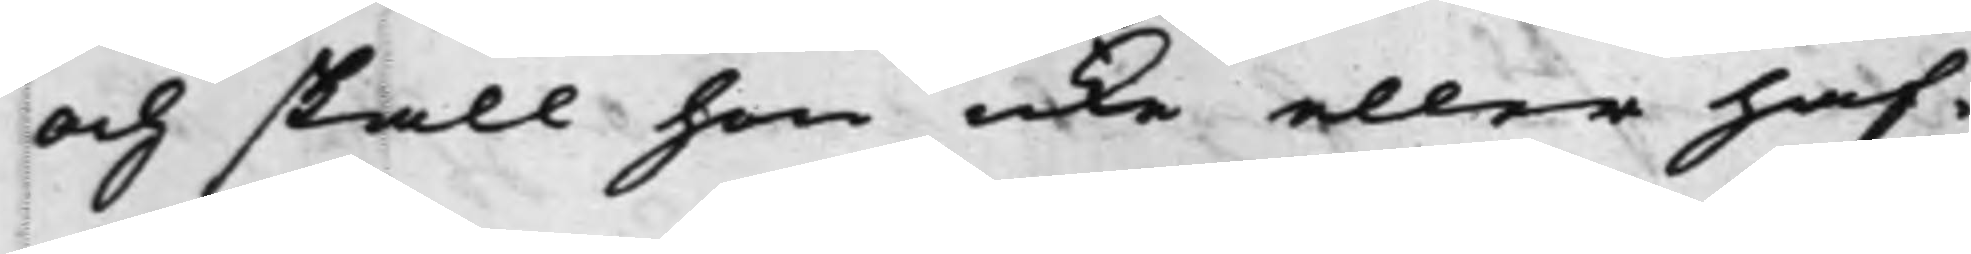Och skall hon icke eller haf¬
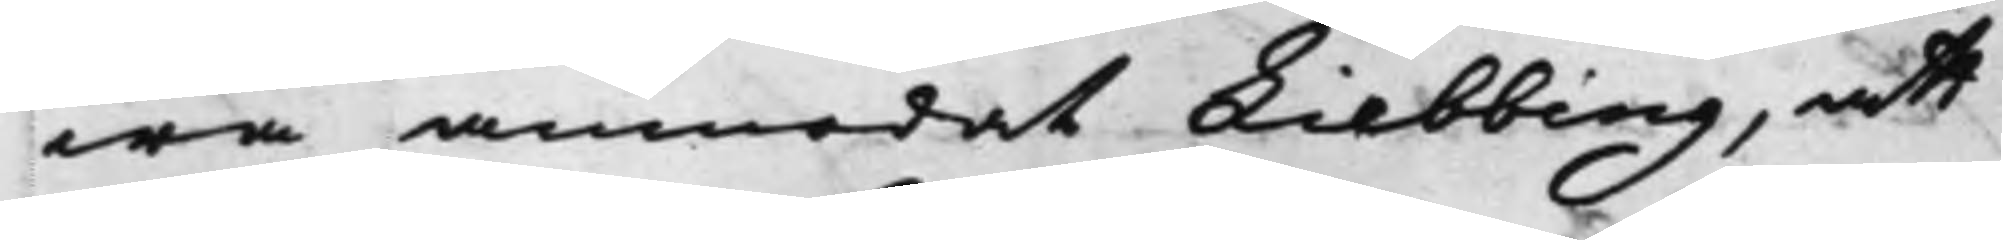wa anmodat Liebbing, att
